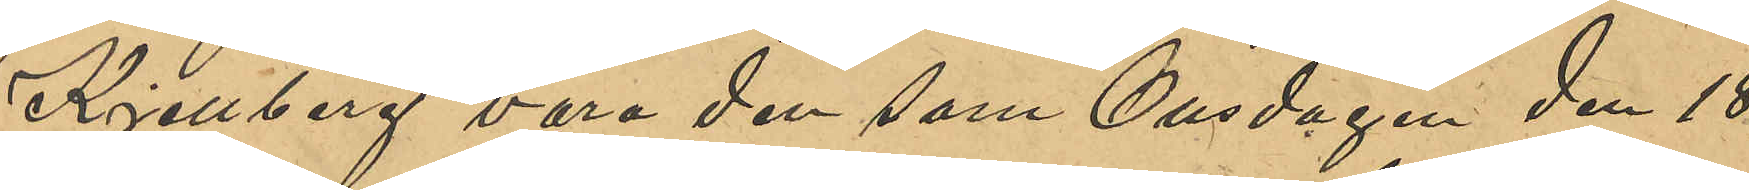Kjellberg vara den som Onsdagen den 18
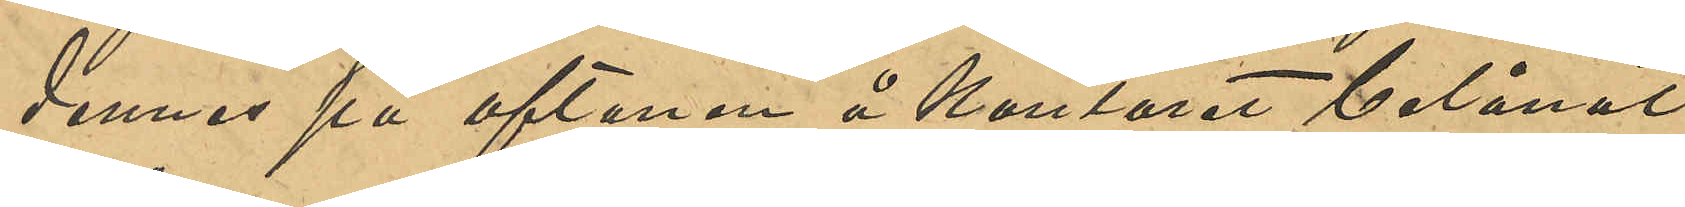dennes på aftonen å kontoret belånat
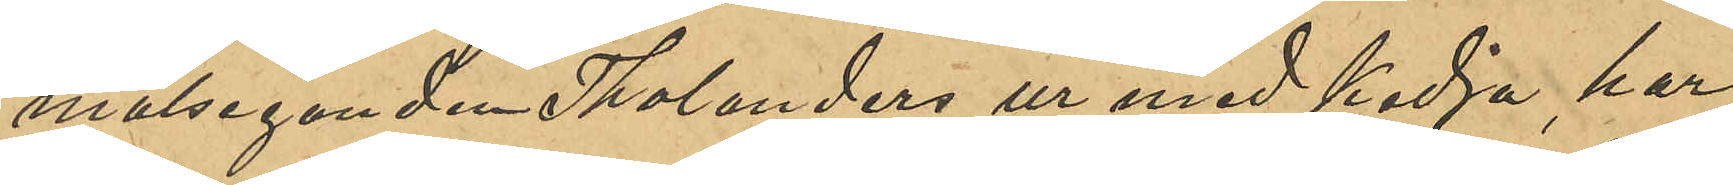målseganden Tholanders ur med kedja, har
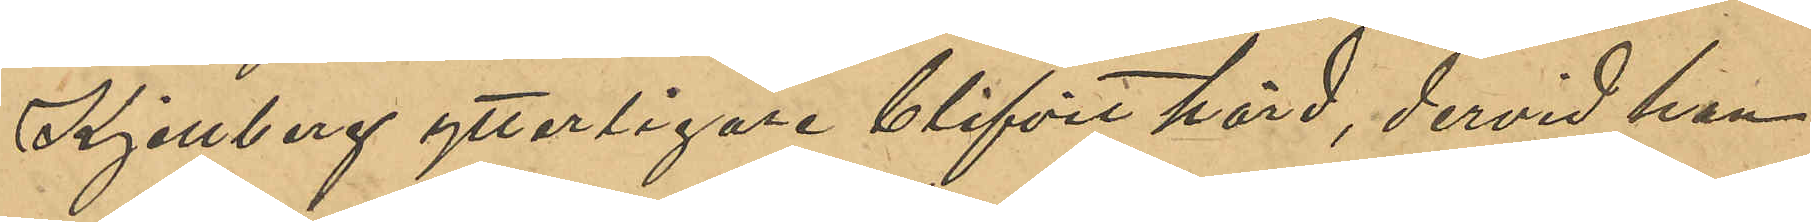Kjellberg ytterligare blifvit hörd, dervid han
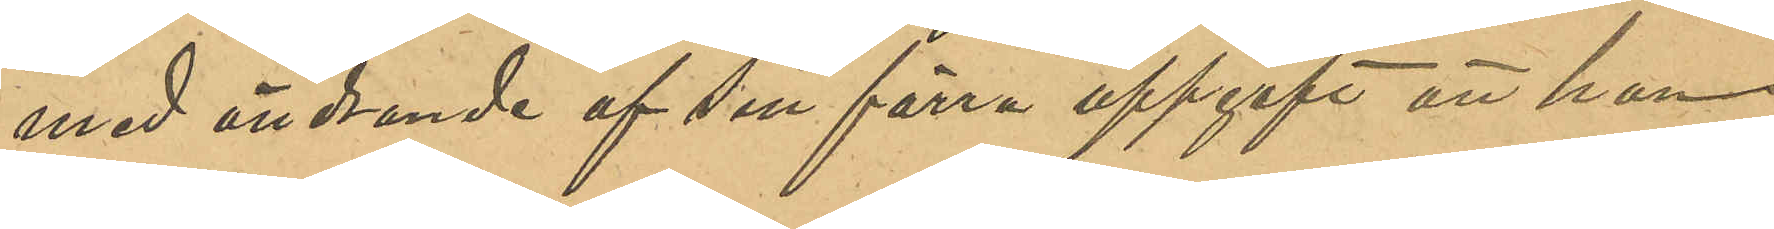med ändrande af sin förra uppgift att han
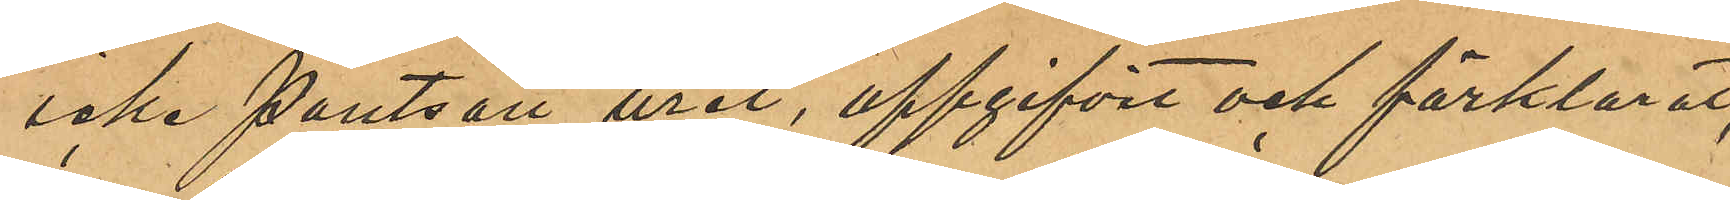icke pantsatt uret, uppgifvit och förklarat,
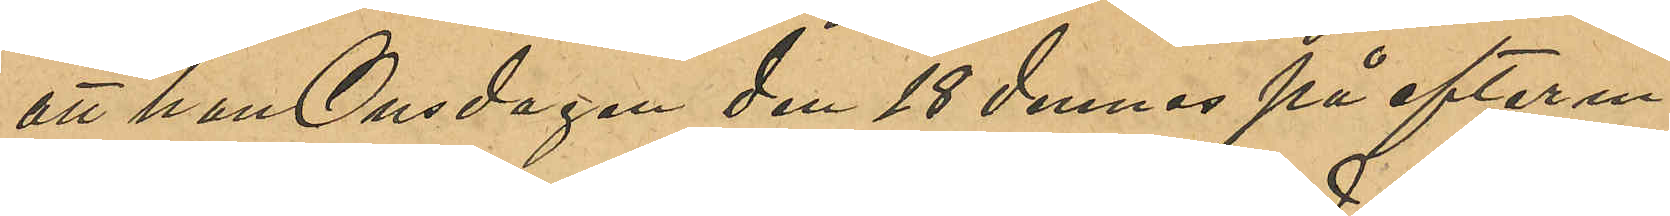att han Onsdagen den 18 dennes på aftonen
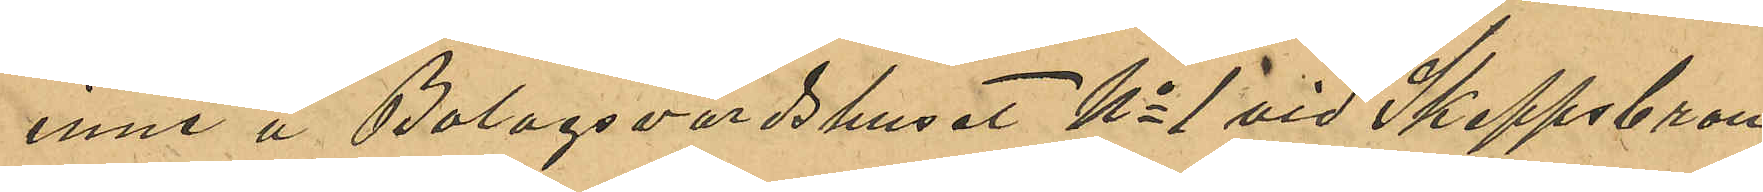inne å Bolagsvärdshuset No 1 vid Skeppsbron
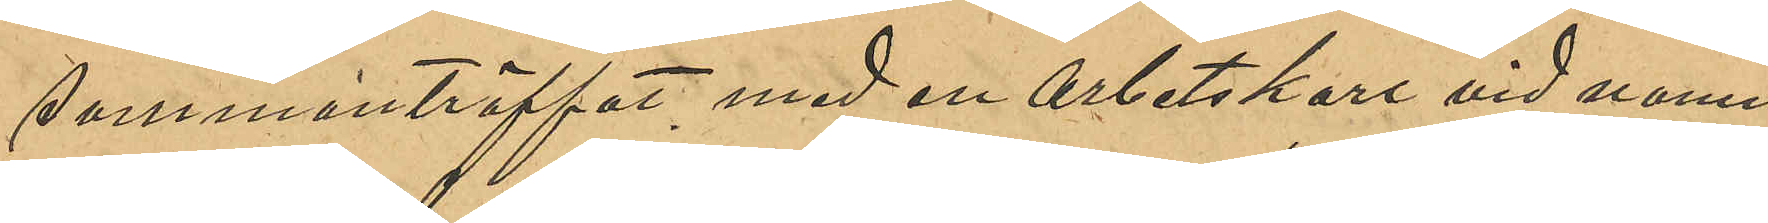sammanträffat med en arbetskarl vid namn
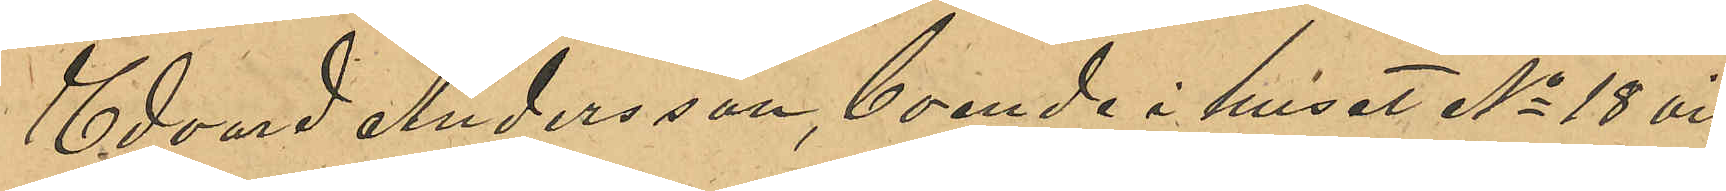Edvard Andersson, boende i huset No 18 vid
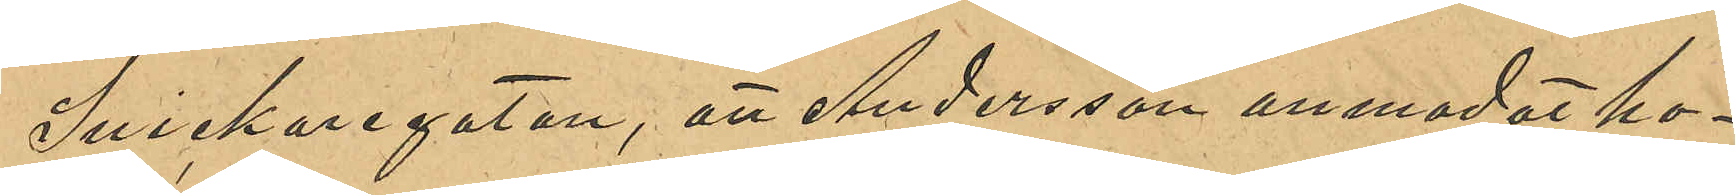Snickaregatan, att Andersson anmodat ho¬
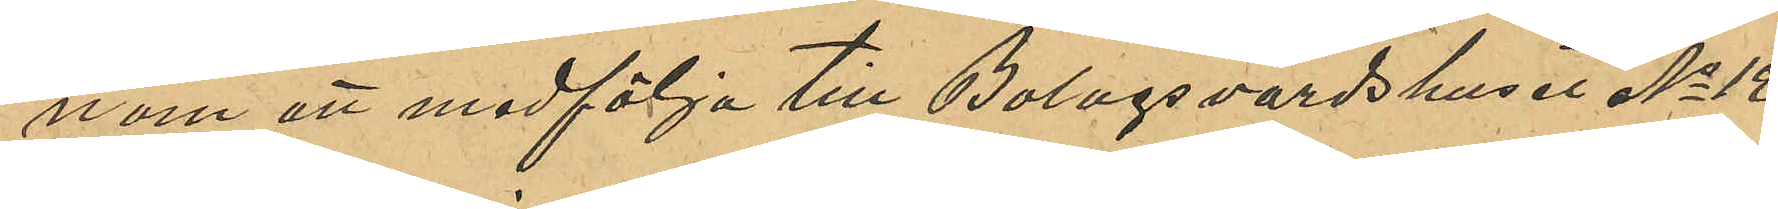nom att medfölja till Bolagsvärdshuset No 12
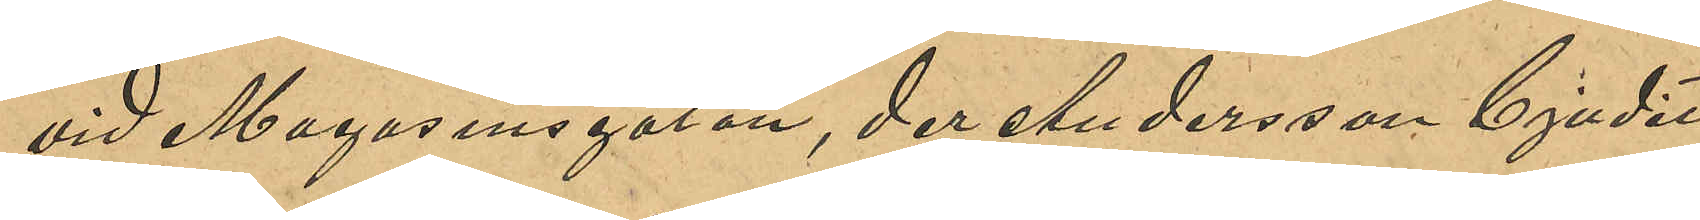vid Magasinsgatan, der Andersson bjudit
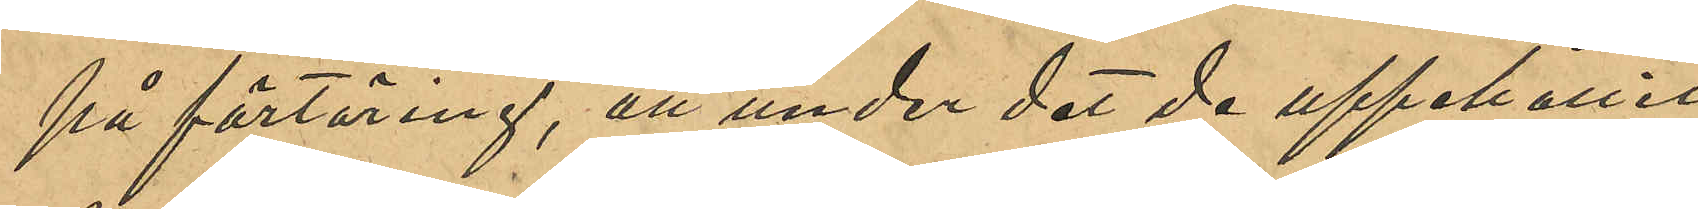på förtäring, att under det de uppehållit
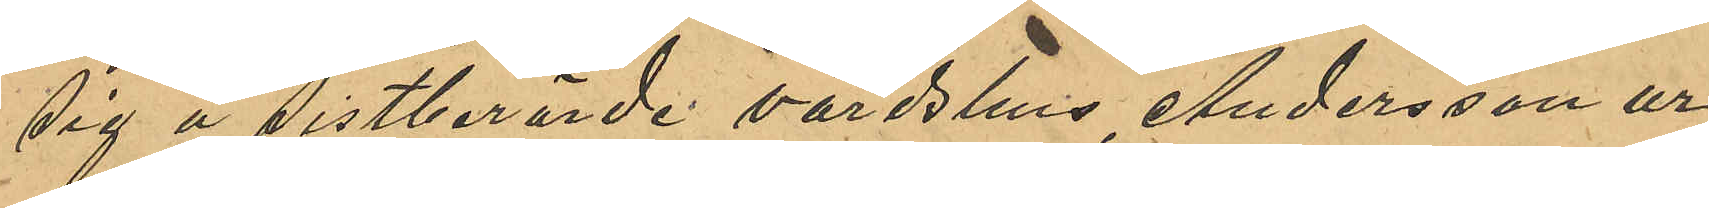sig å sistnämnde värdshus, Andersson ur
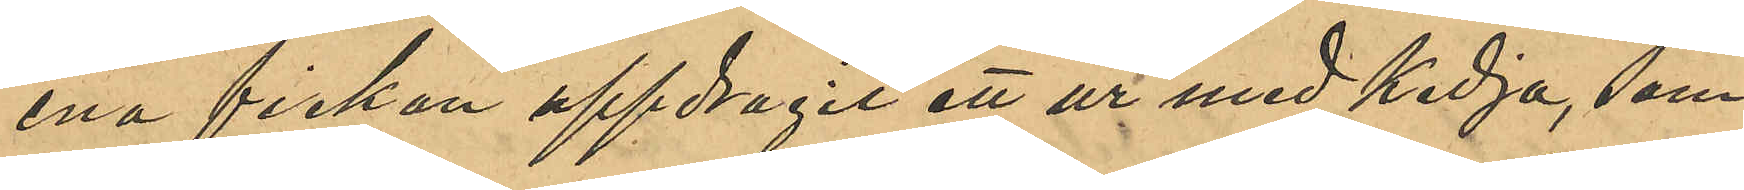ena fickan uppdragit ett ur med kedja, som
